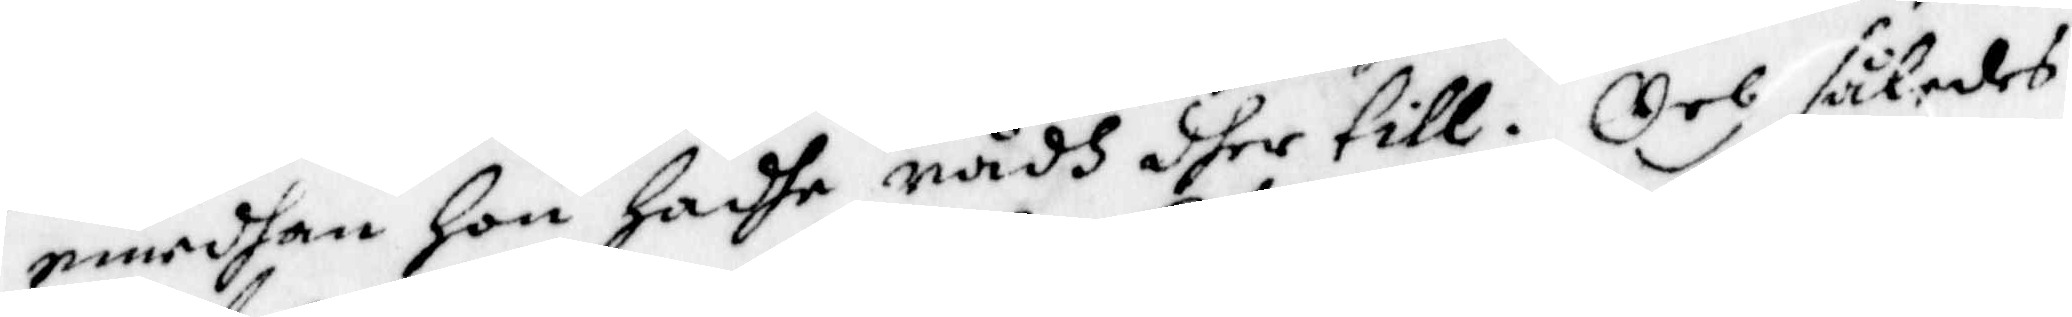emedhan hon hadhe rådh dher till. Och således
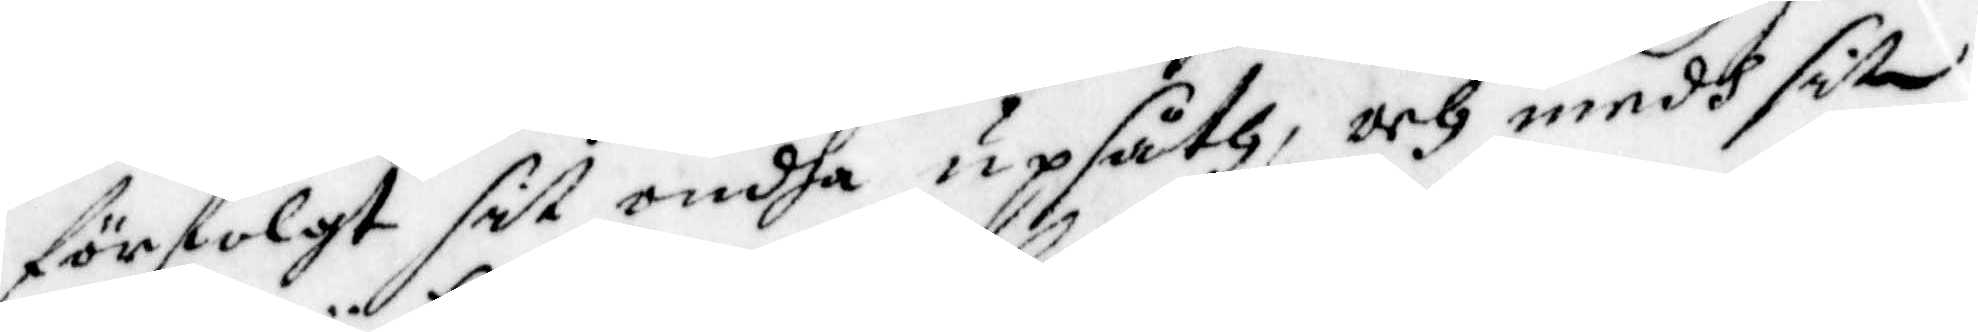förfolgt sit ondhe upsåth, och medh sitt
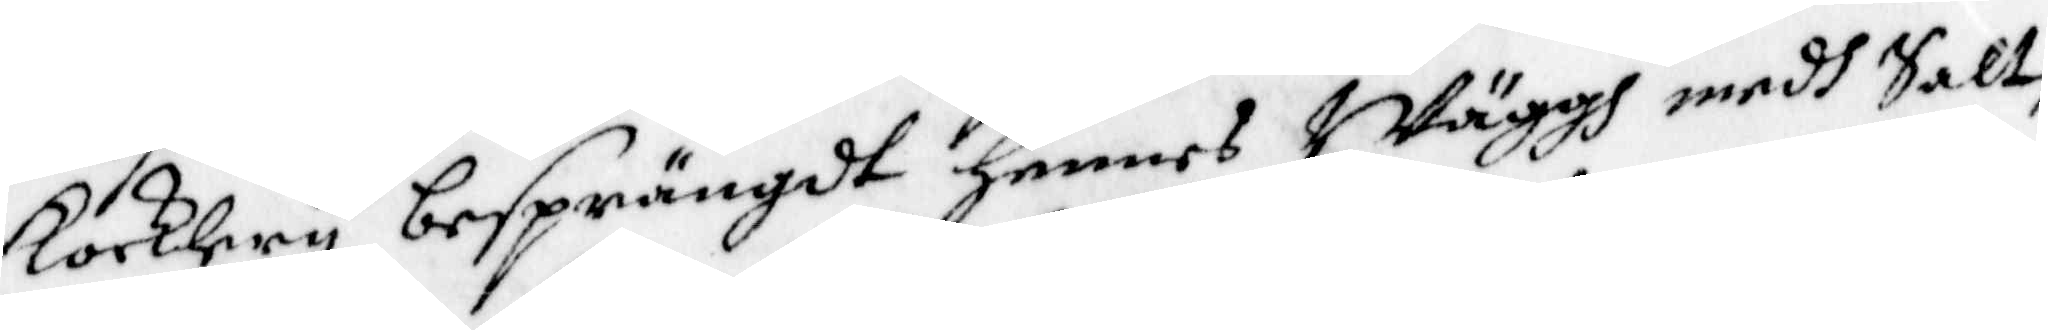kocklery besprängdt hennes Wäggh medh Salt,
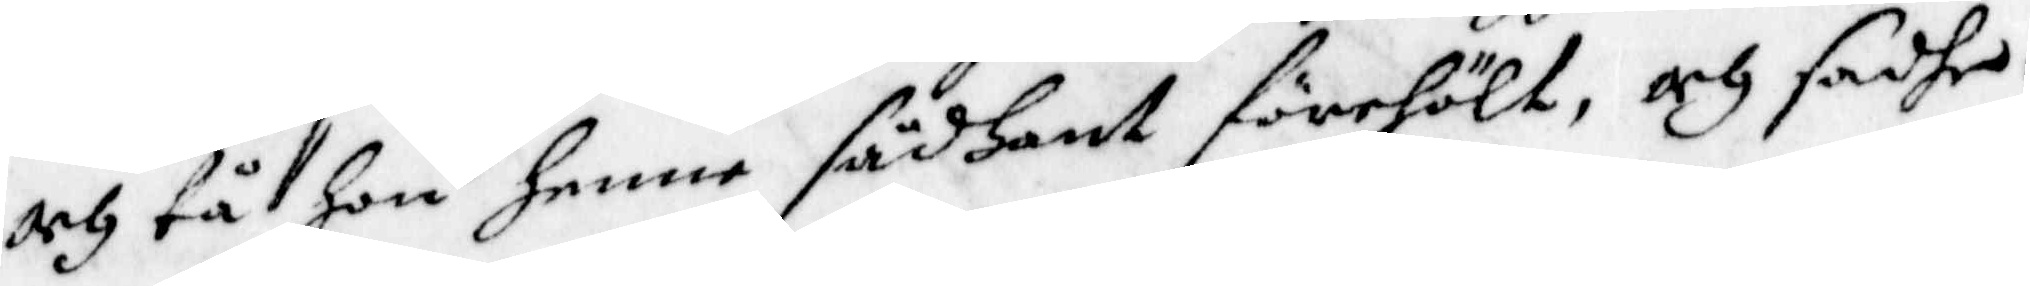och tå hon Henne sådant förehölt, och sadhe
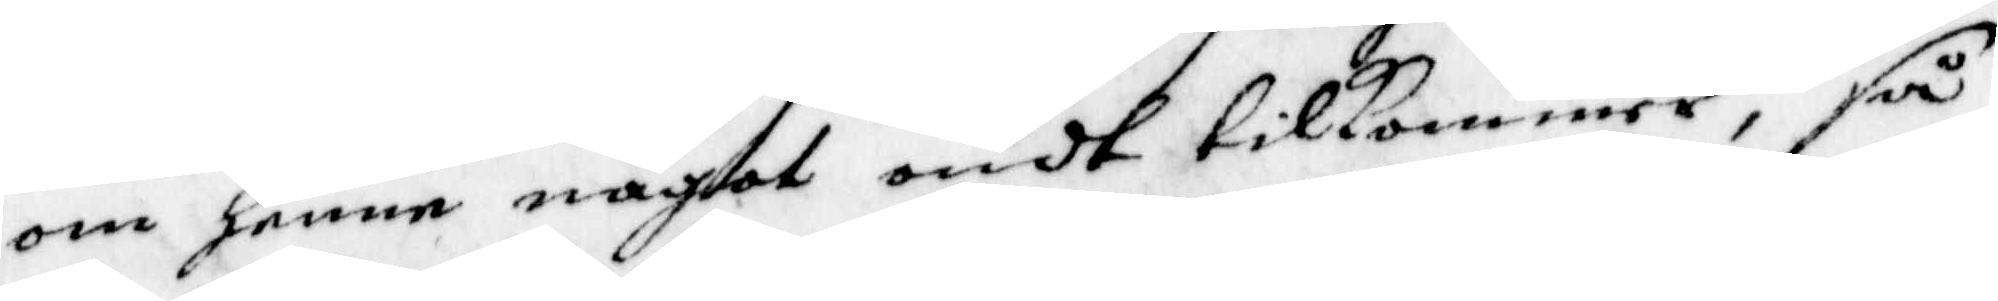om henne något ondt tillkommer; så
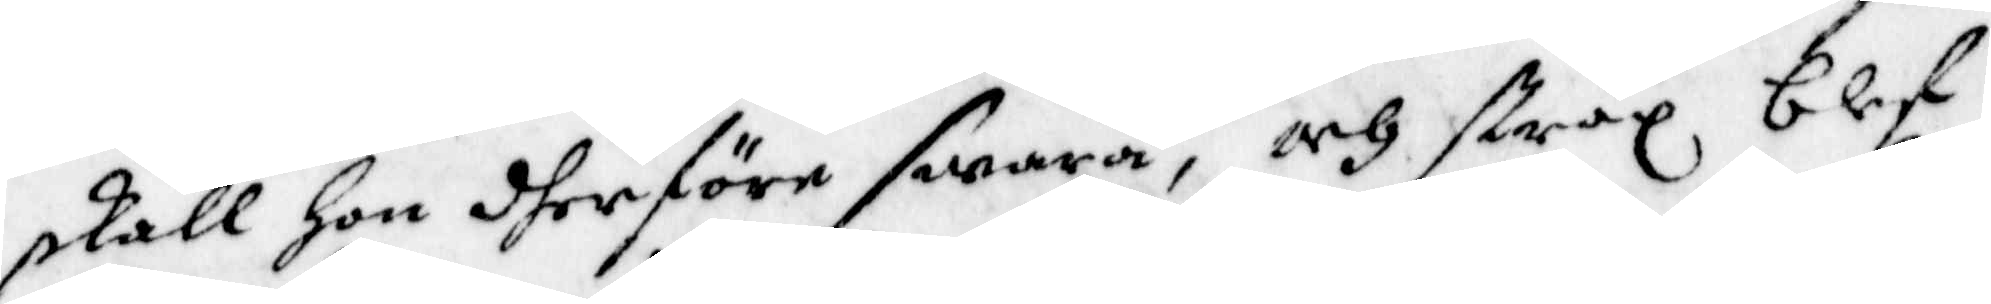skall hon dherföre swara, och strax blef
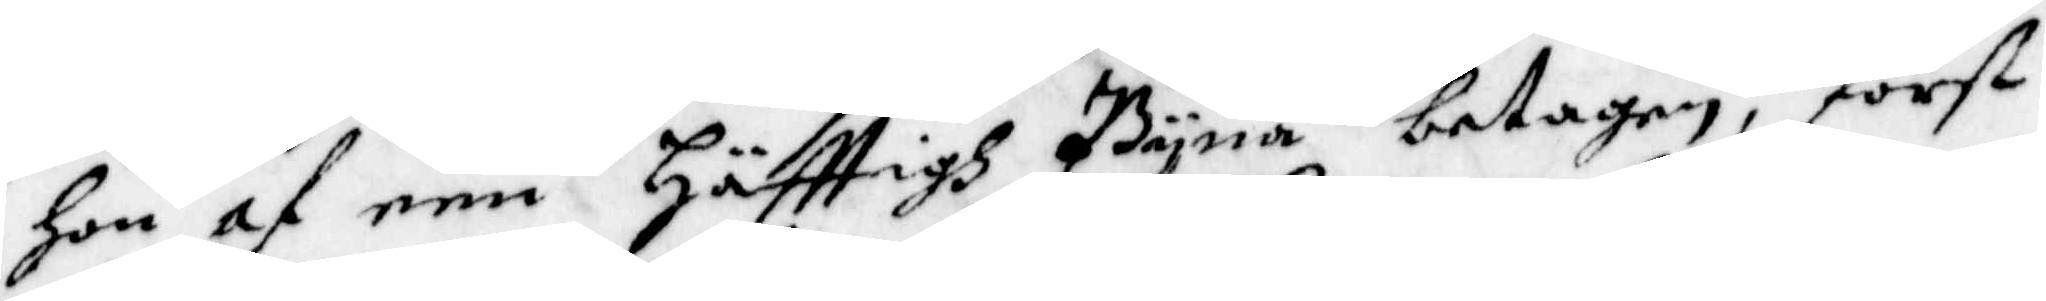Hon af een Häfttigh Pyna betagen, först
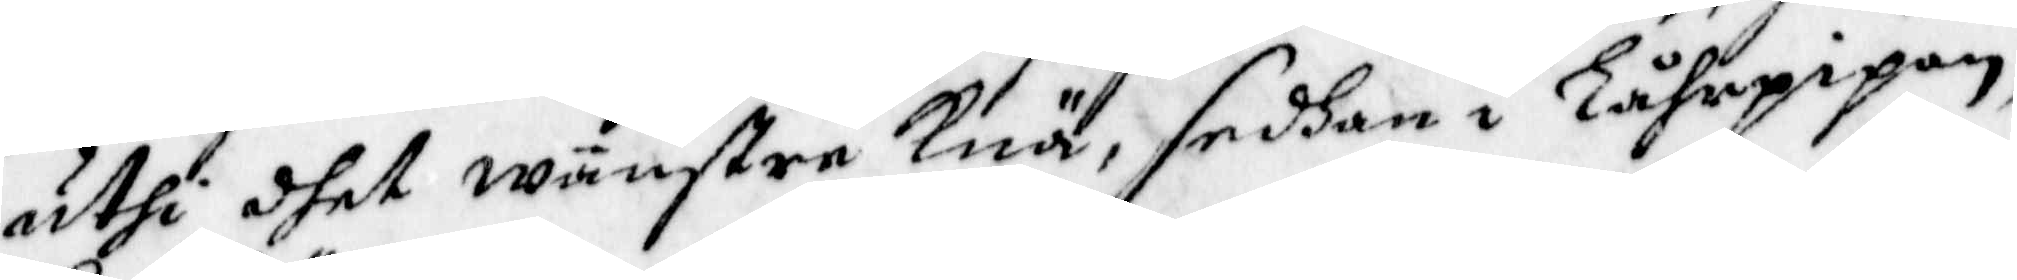uthi dhet wänstre Knä, sedhan i Lårepipan,
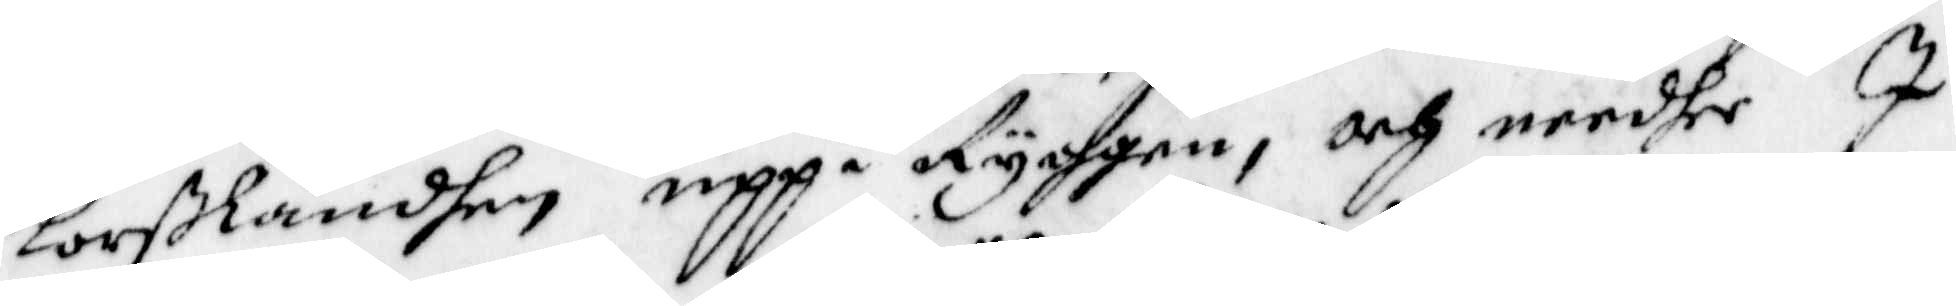korßländhen uppå Ryggen, och needherI
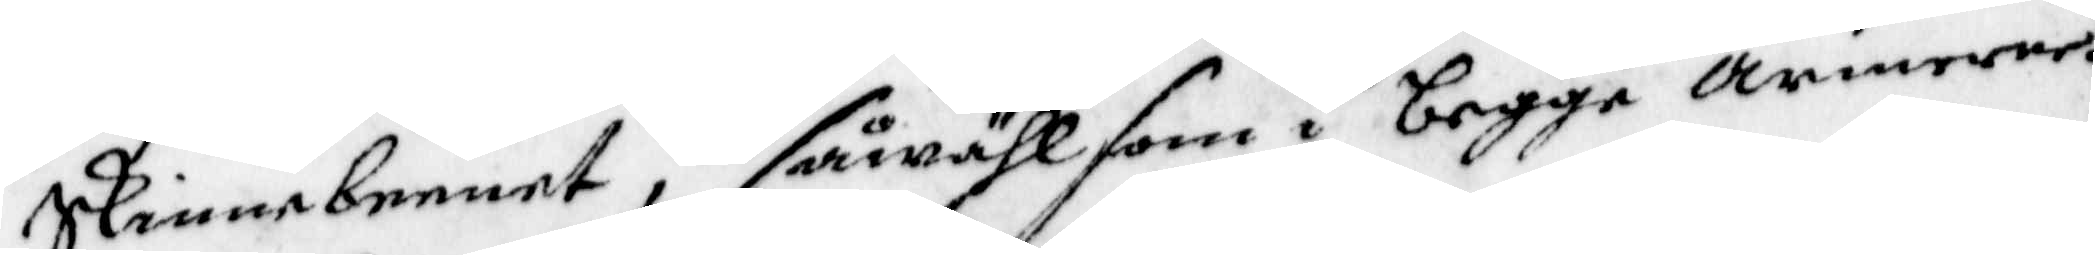Skinnebeenet, så wähl som i begge Armerne.
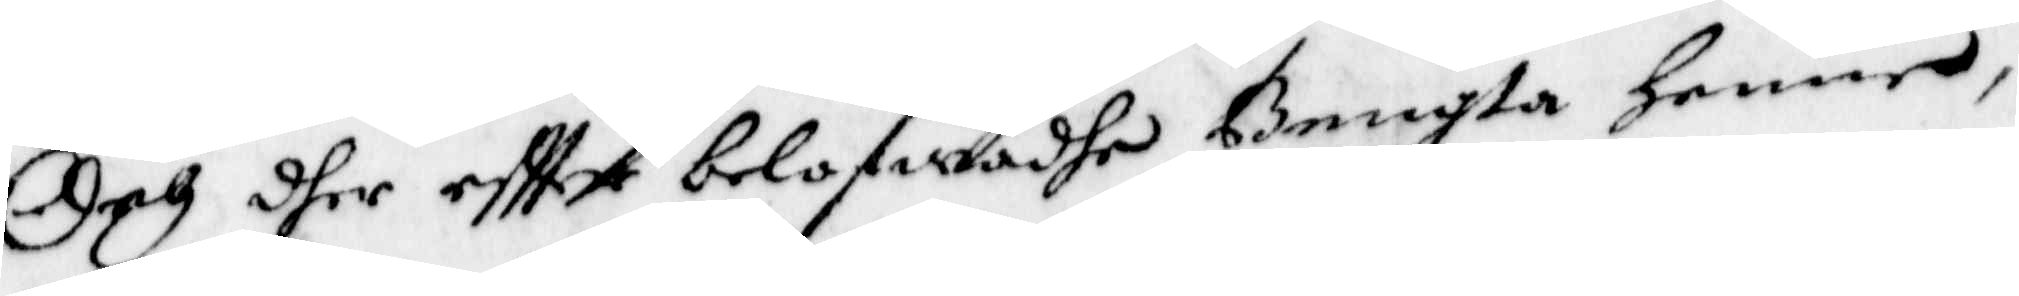Och dher eftter belofwadhe Bengta henne,
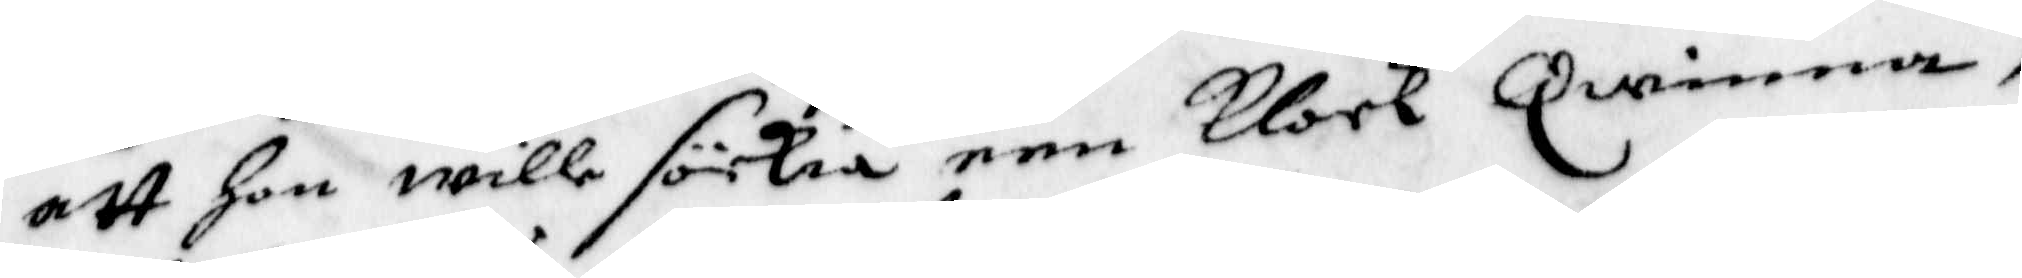att hon wille sökia een Klock Qwinna,
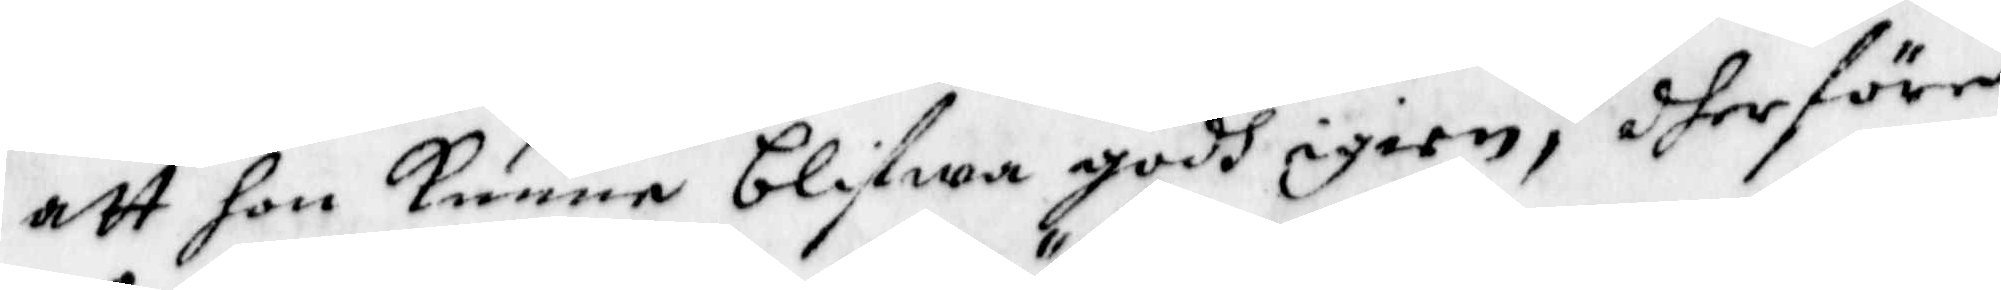att hon kunne blifwa godh igien, dherföre
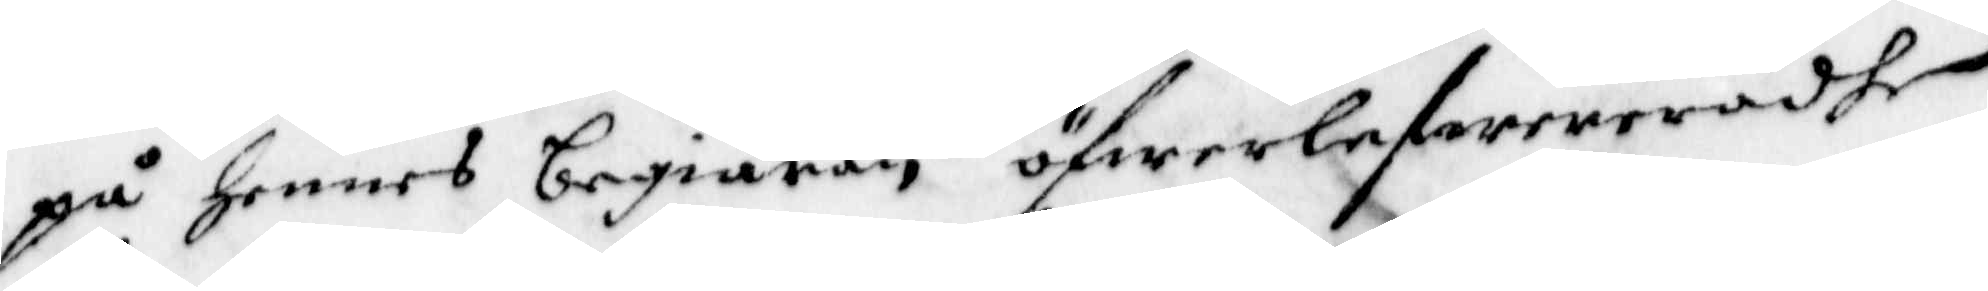på hennes begiäran öfwerlefwereradhe
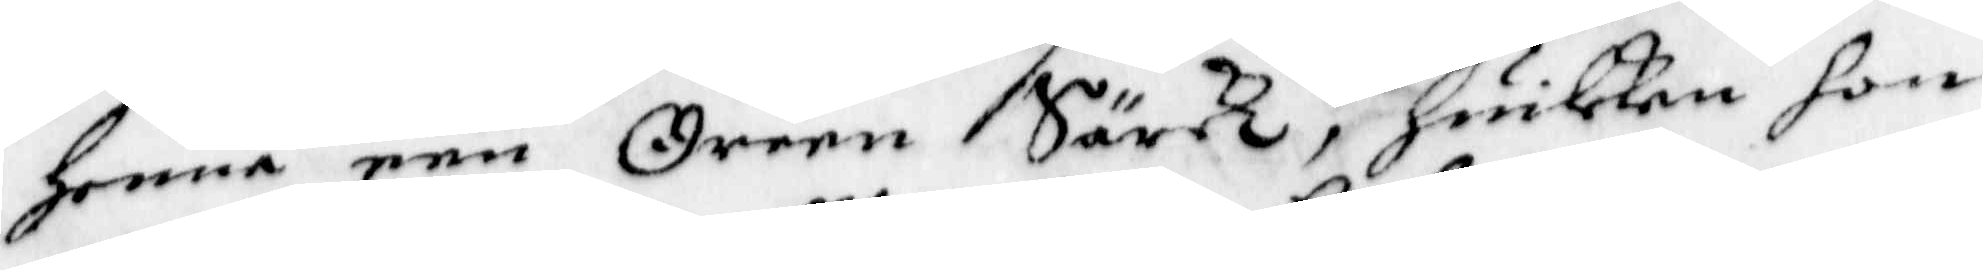Henne een Oreen Särck, huilken hon
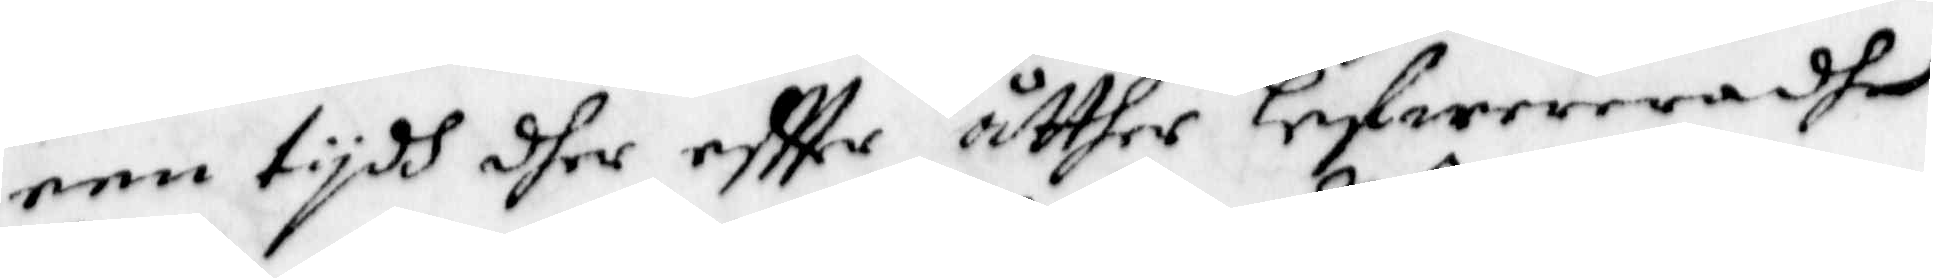een tydh dher eftter åtther lefwereradhe
